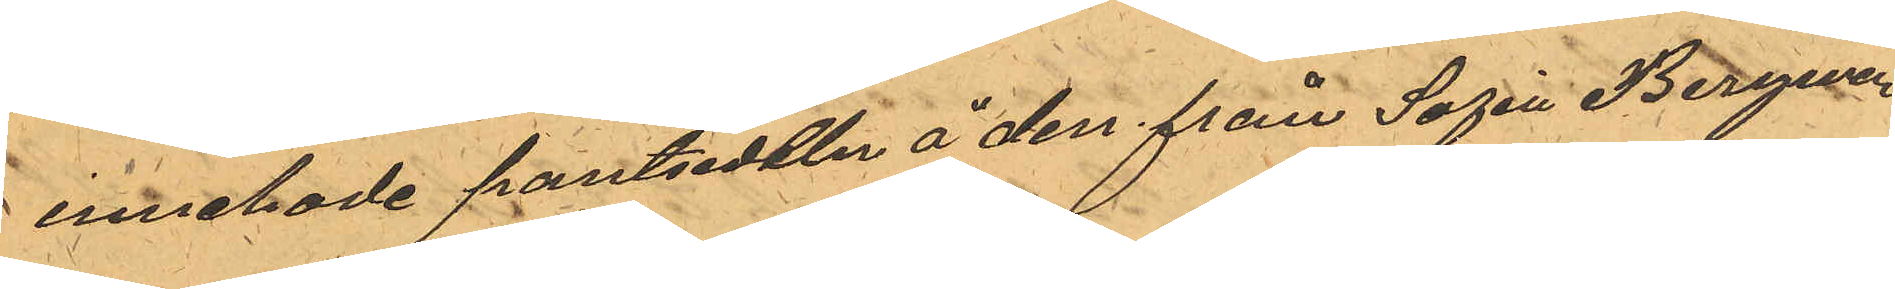innehade pantsedeln å den från Sofia Bergman
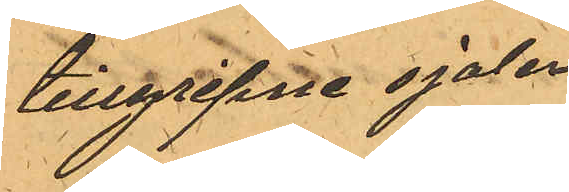tillgripne sjalen
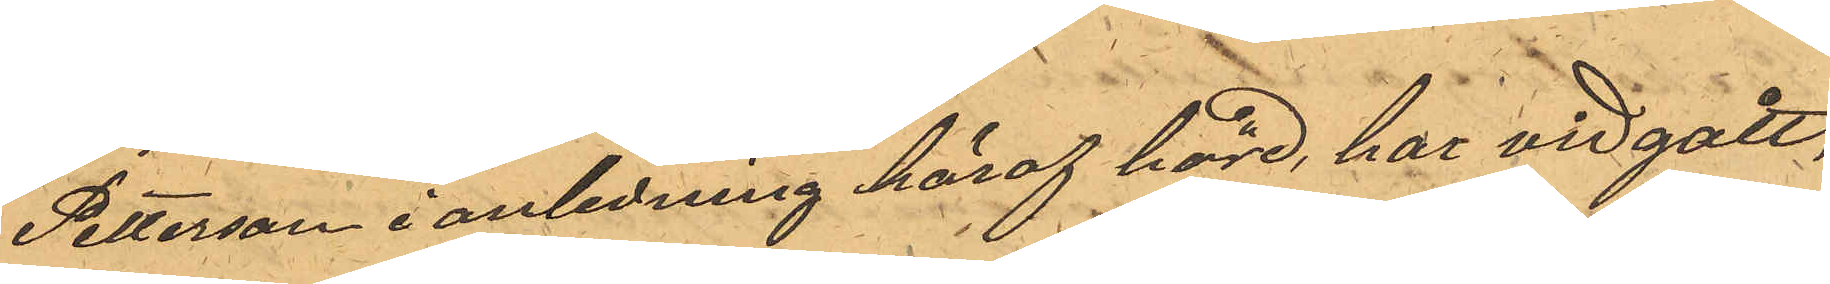Petterson i anledning häraf hörd, här vid gått,
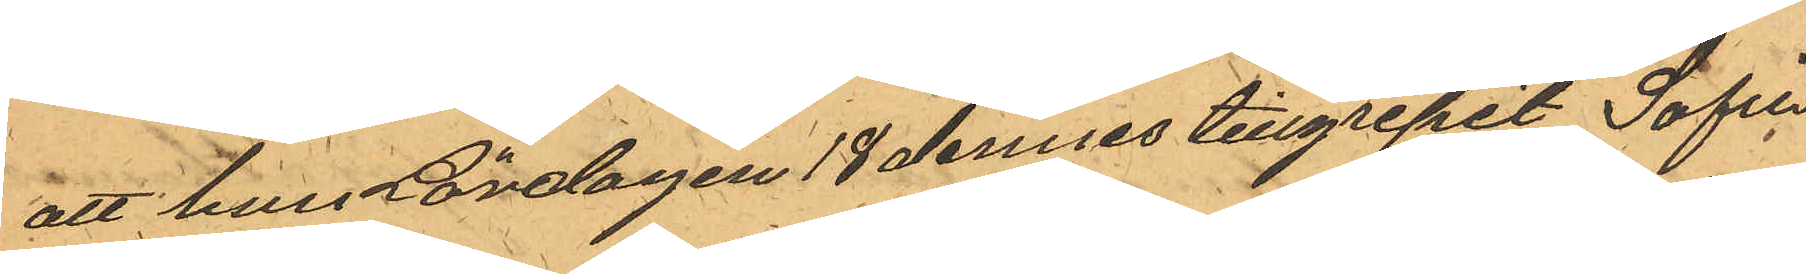att hun Lördagen 18 dennes tillgripit Sofia
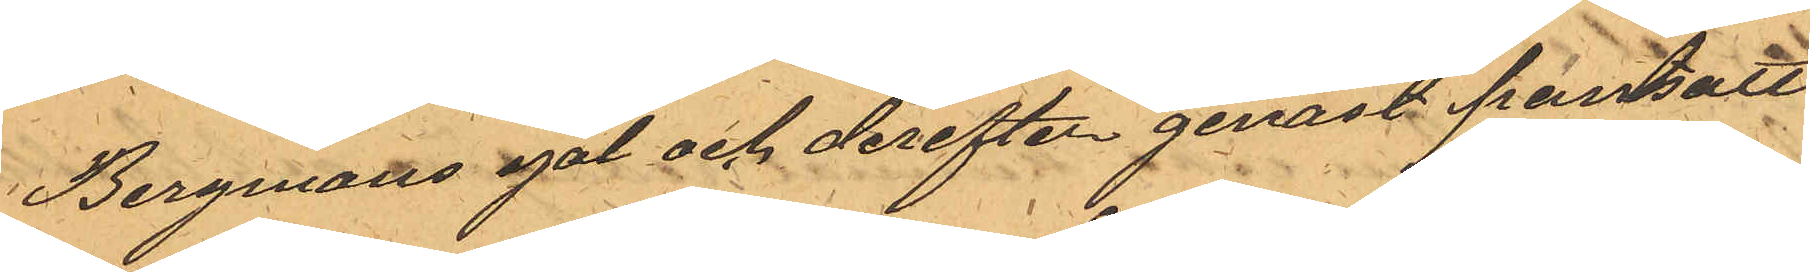Bergmans sjal och derefter genast pantsatt
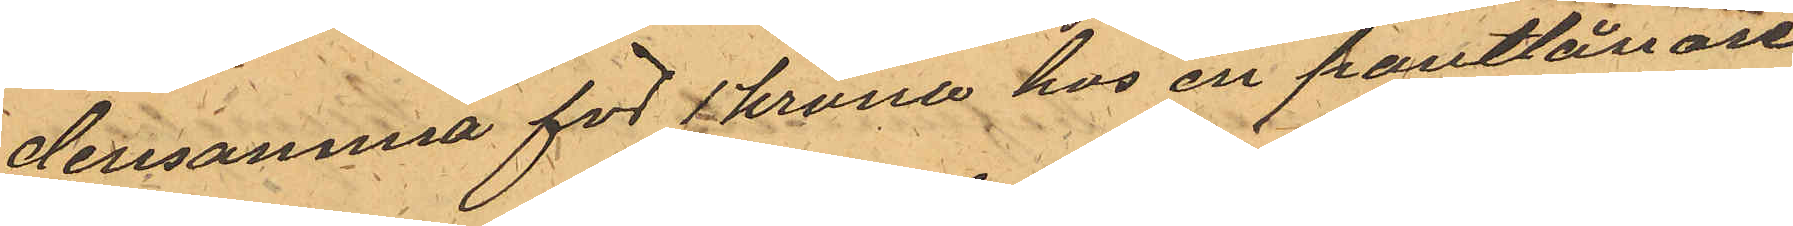densamma för 1 krona hos en pantlånare
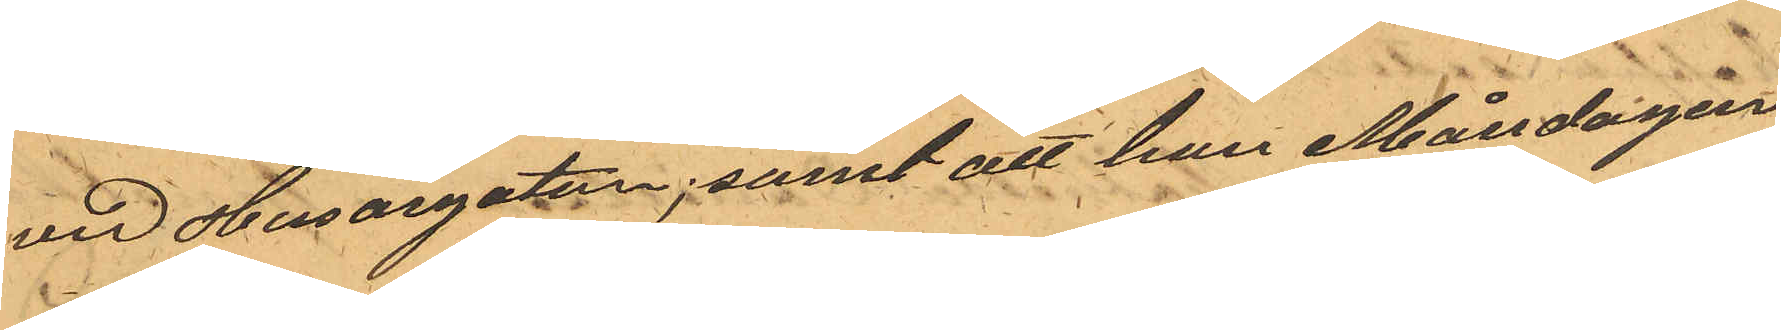vid Husargatan; samt att hun Måndagen
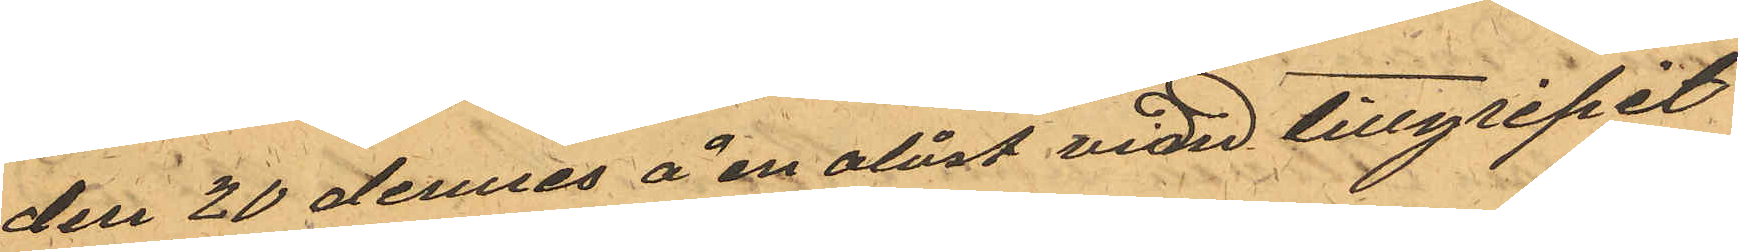den 20 dennes å en olåst vind tillgripit
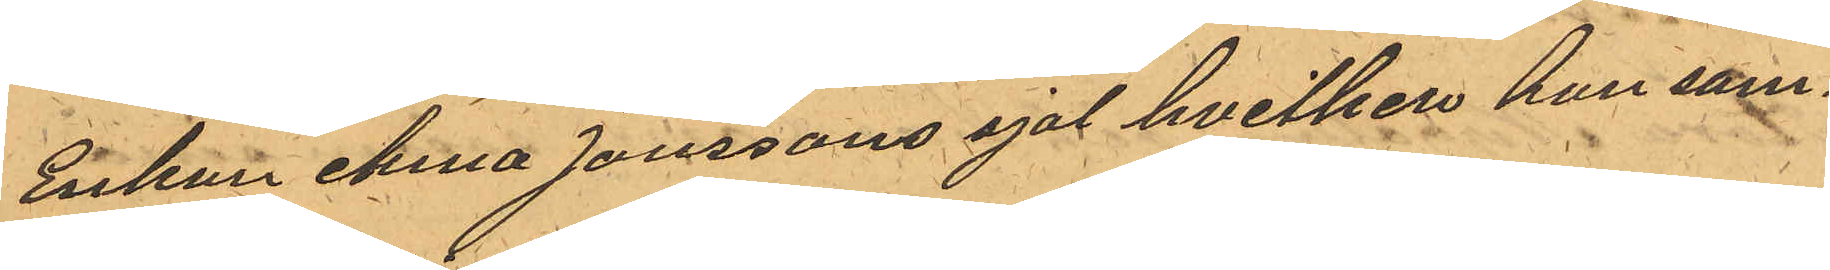Enkan Anna Jonssons sjal hvilken hon sam¬
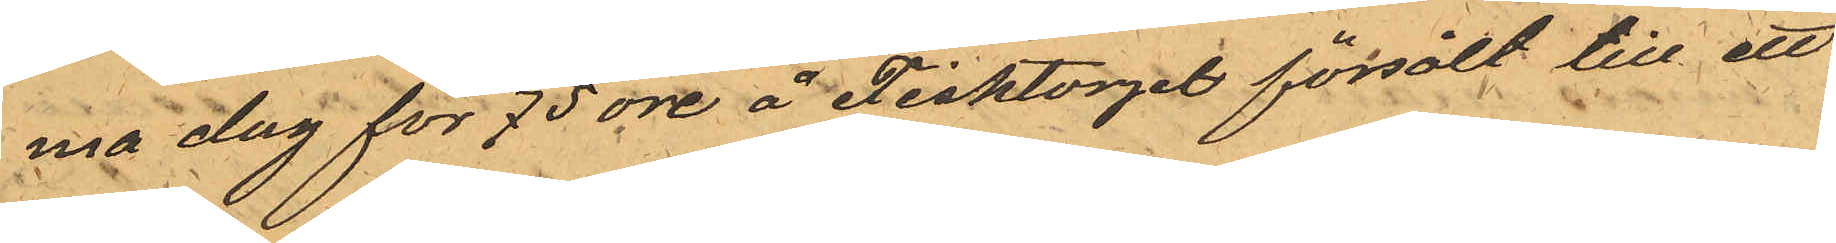ma dag för 75 öre å Fisktorget försålt till ett
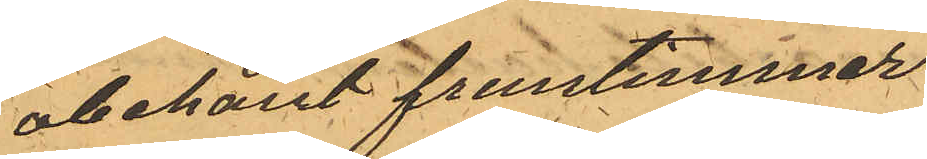obekant fruntimmer
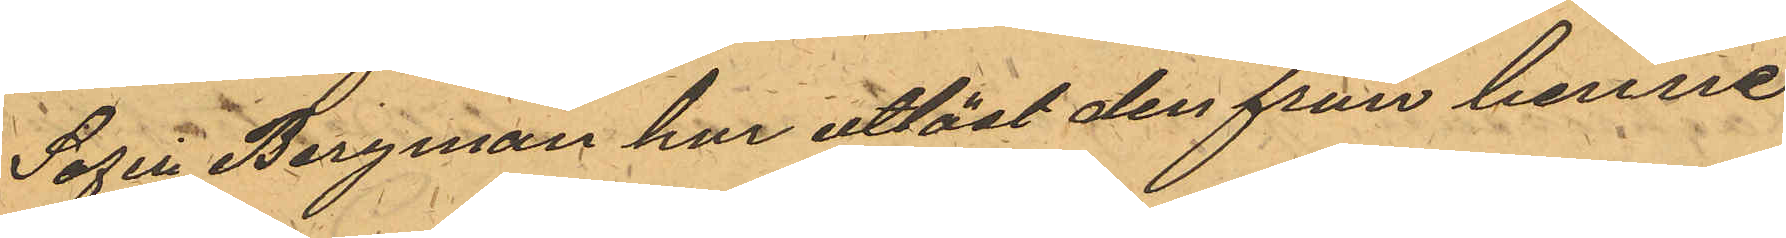Sofia Bergman har utlöst den från henne
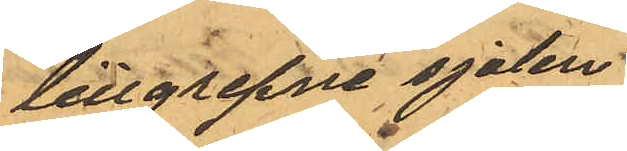tillgripne sjalen.
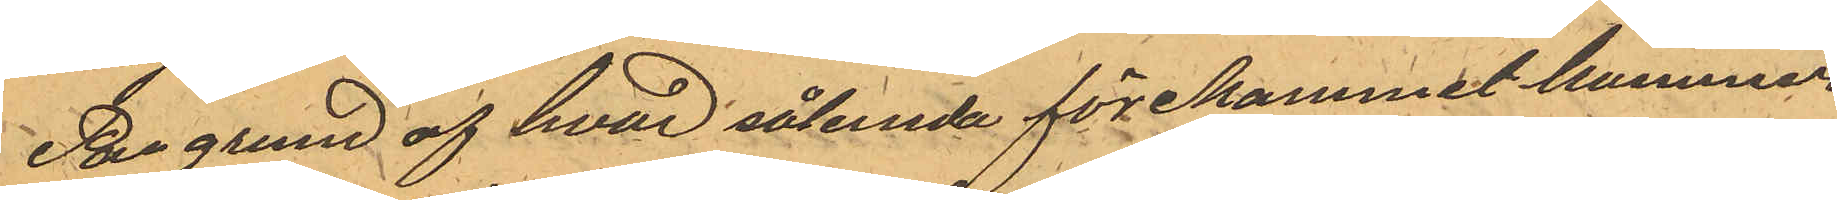På grund af hvad sålunda förekommit kommer
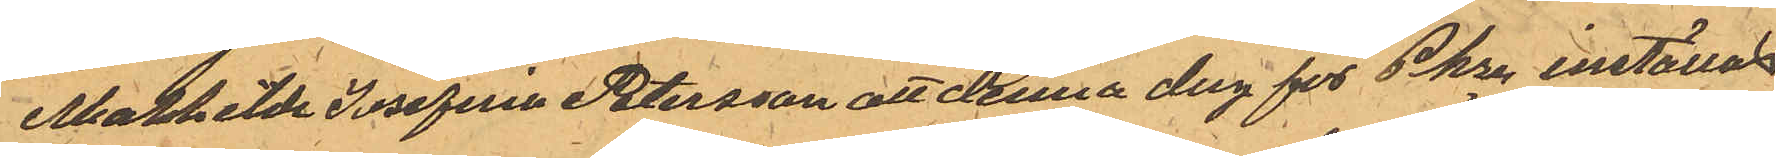Mathilda Josefina Petersson att denna dag för Pkren inställas
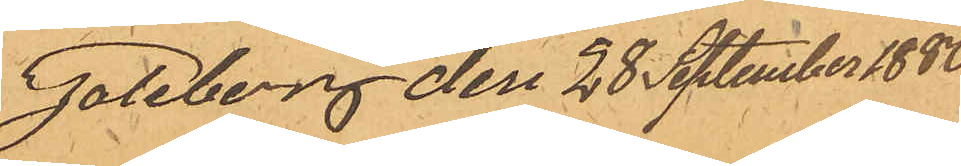Göteborg den 28 September 1880.
